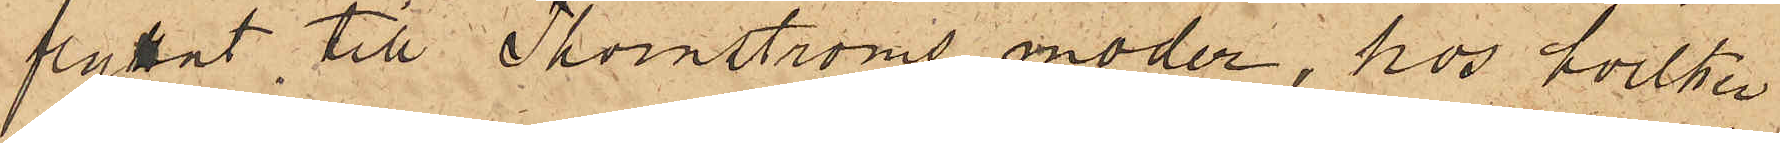flyttat till Thornströms moder, hos hvilken
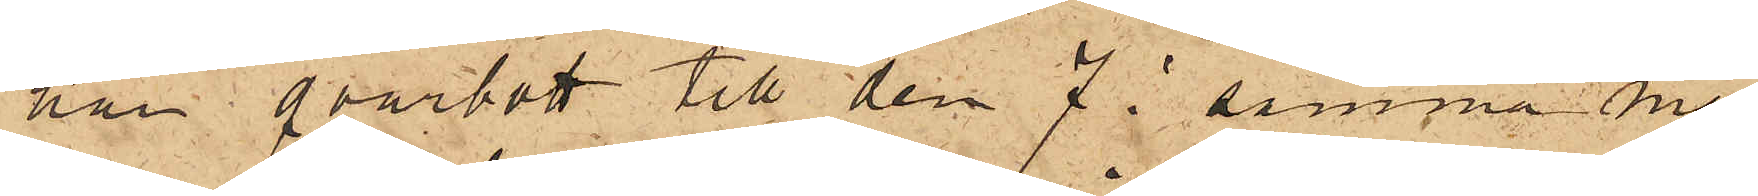han qvarbott till den 7 i samma må¬
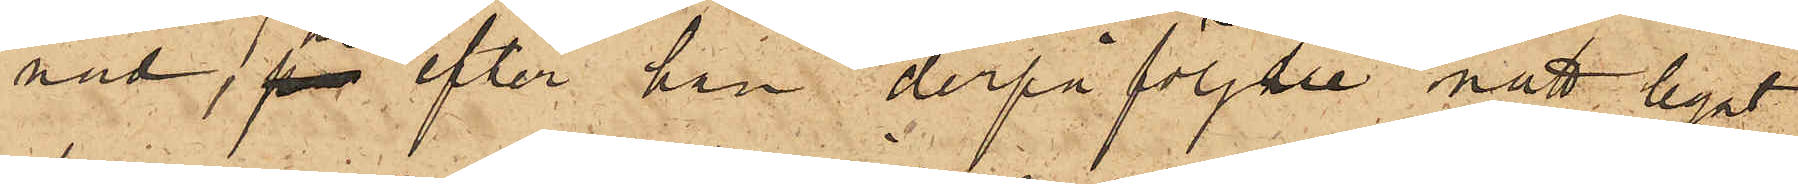nad, hvarefter han derpåföljde natt hyrt
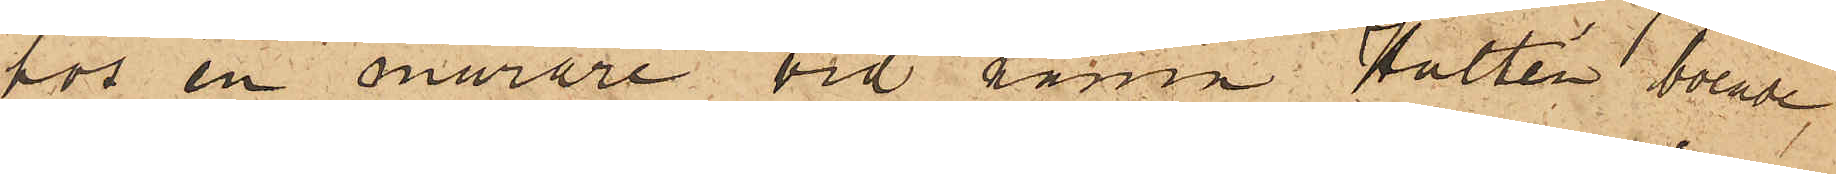hos en murare vid namn Hultén boende
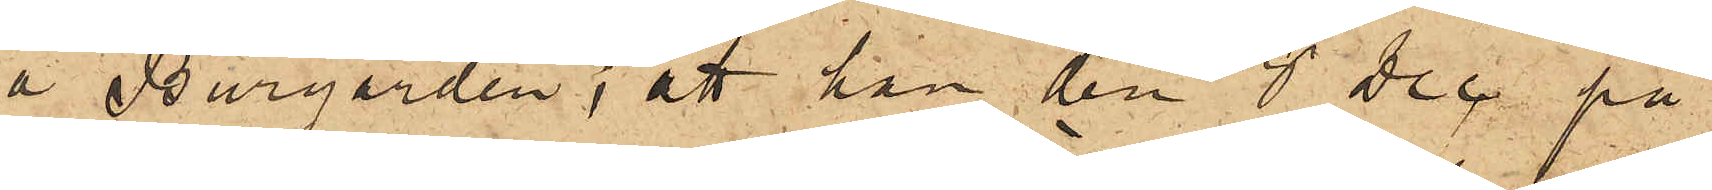å Burgården; att han den 8 Dec på
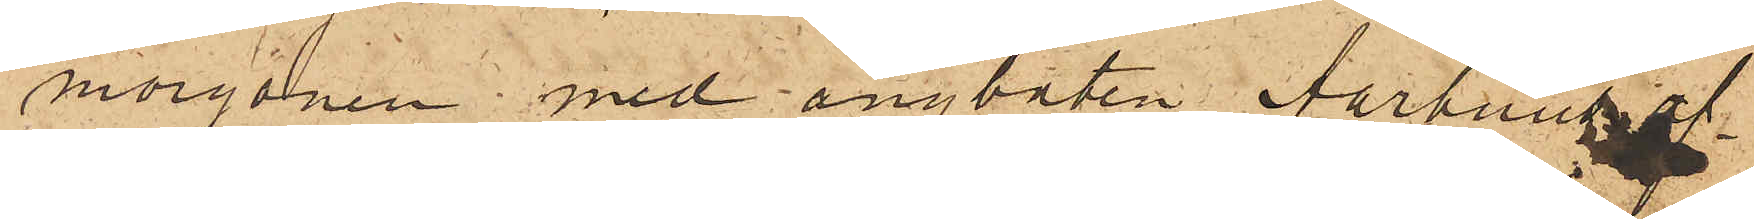morgonen med ångbåten Aarhus af¬
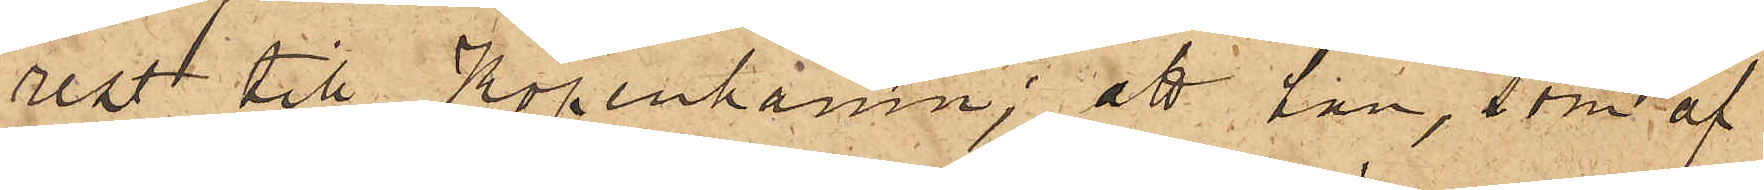rest till Köpenhamn; att han, som af
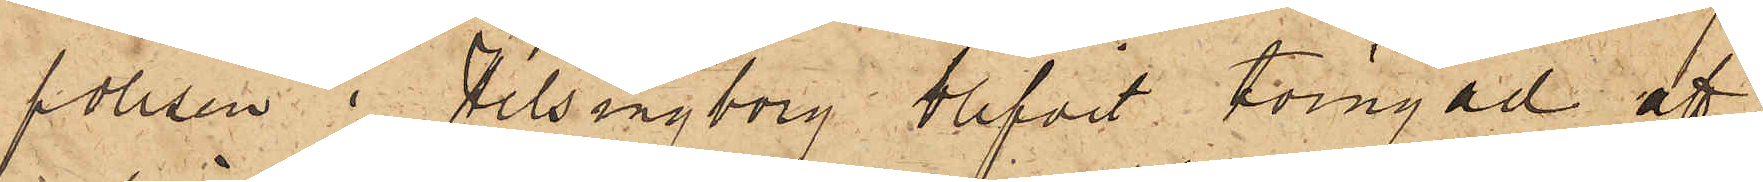polisen i Helsingborg blifvit tvingad att
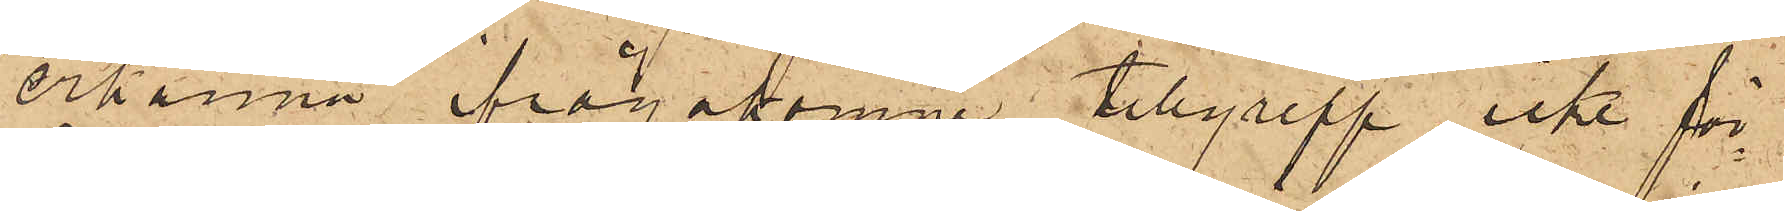erkänna ifrågakomne tillgrepp, icke för¬
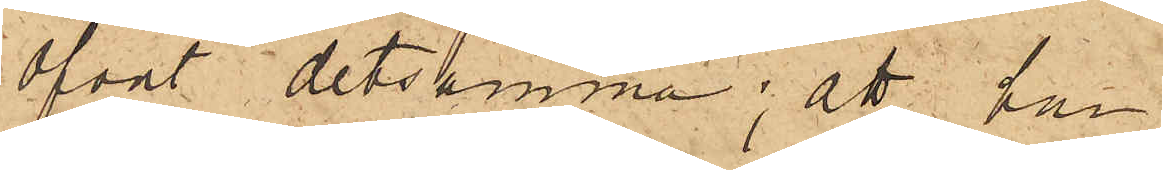öfvat detsamma; att han
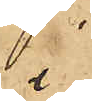i
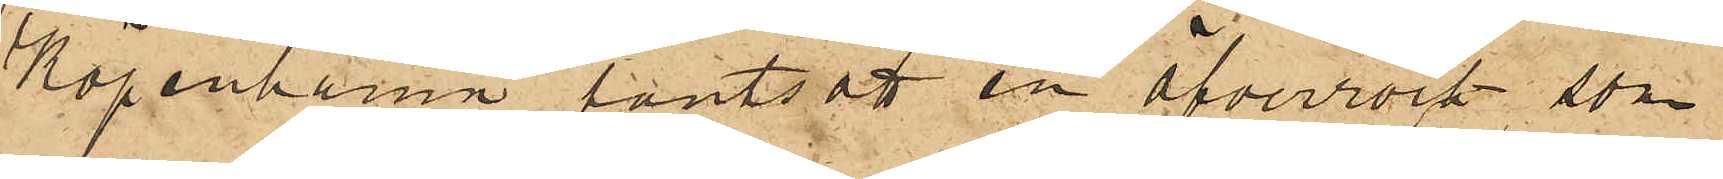Köpenhamn pantsatt en öfverrock, som
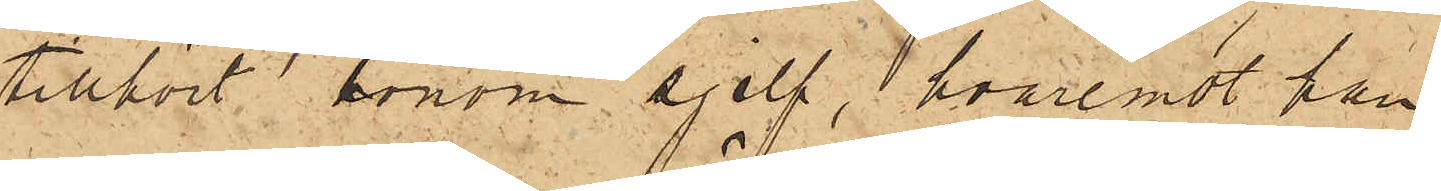tillhört honom sjelf, hvaremot han
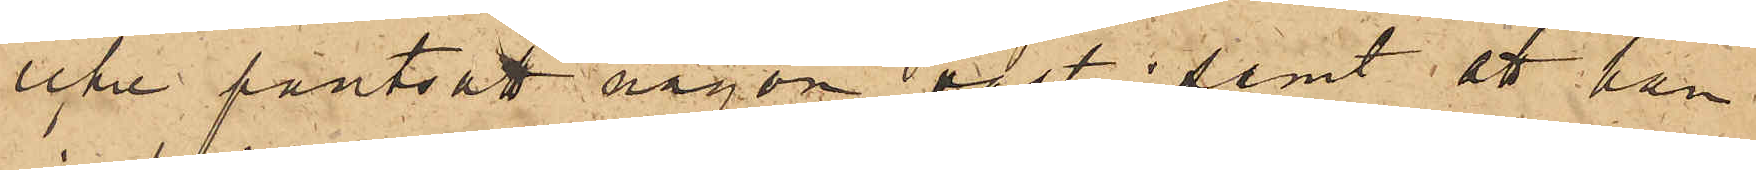icke pantsatt någon väst; samt att han
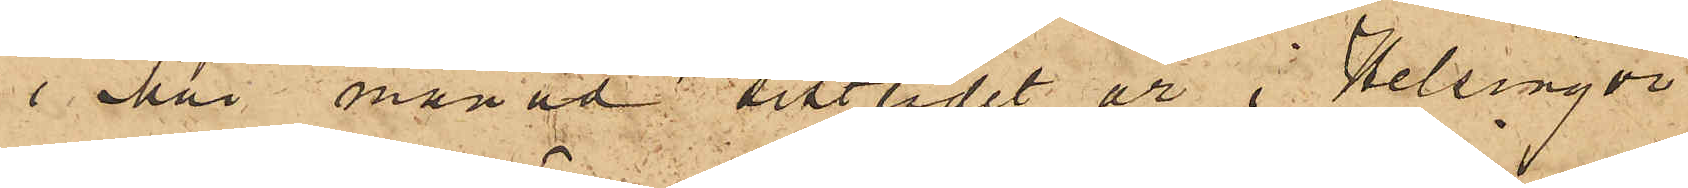i Mai månad sistlidet år i Helsingör
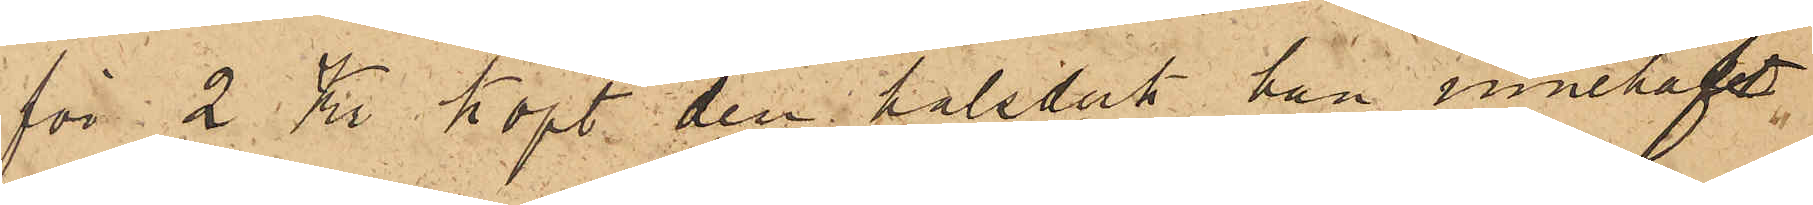för 2 Kr köpt den halsduk han innehaft.
